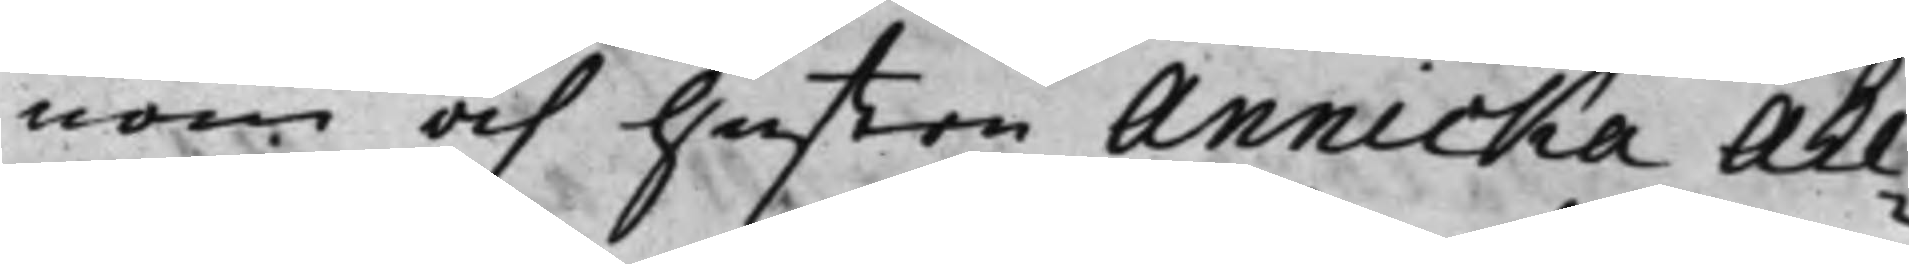nom och hustru Annicka Ahl¬
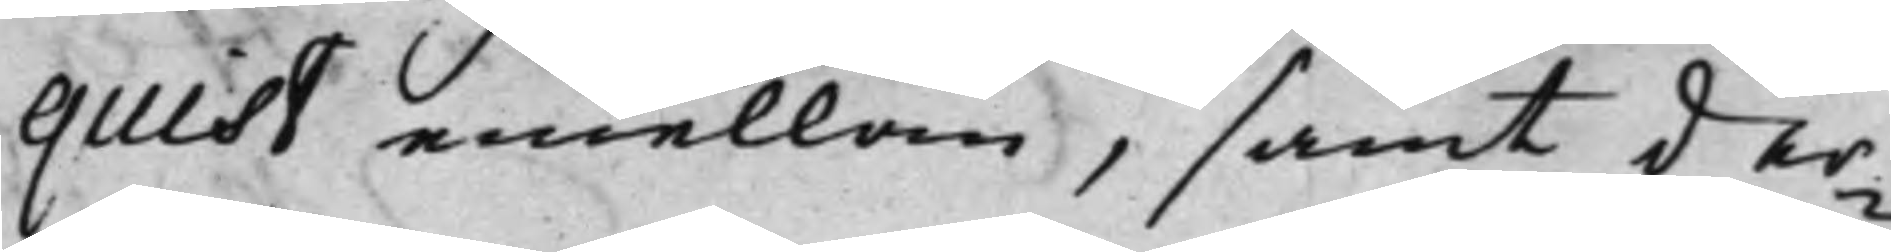quist emellan, samt der¬
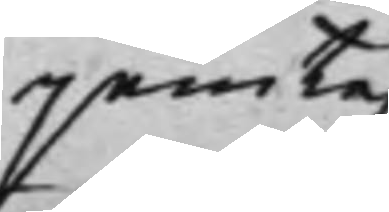jemte
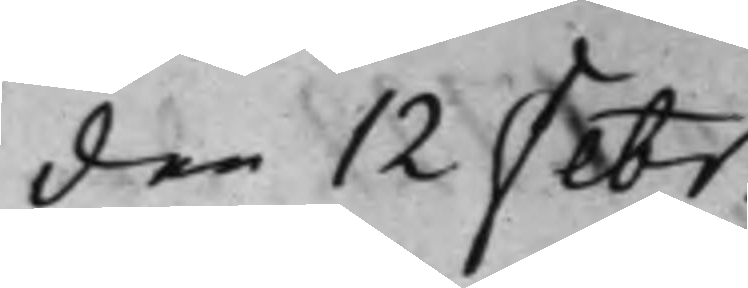den 12 Febr.
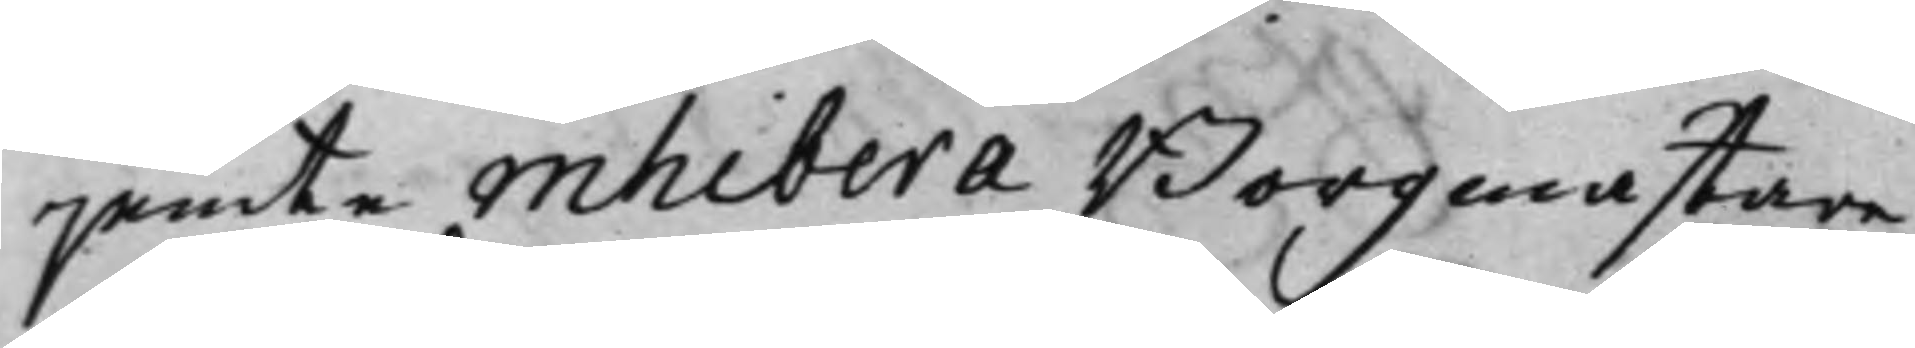jemte inhibera Borgmästare
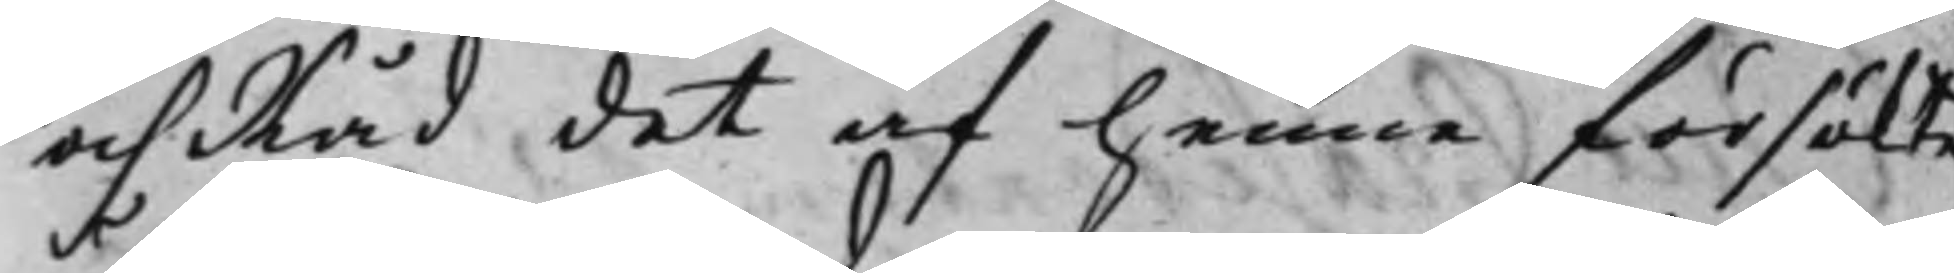och Råd det af henne försökte
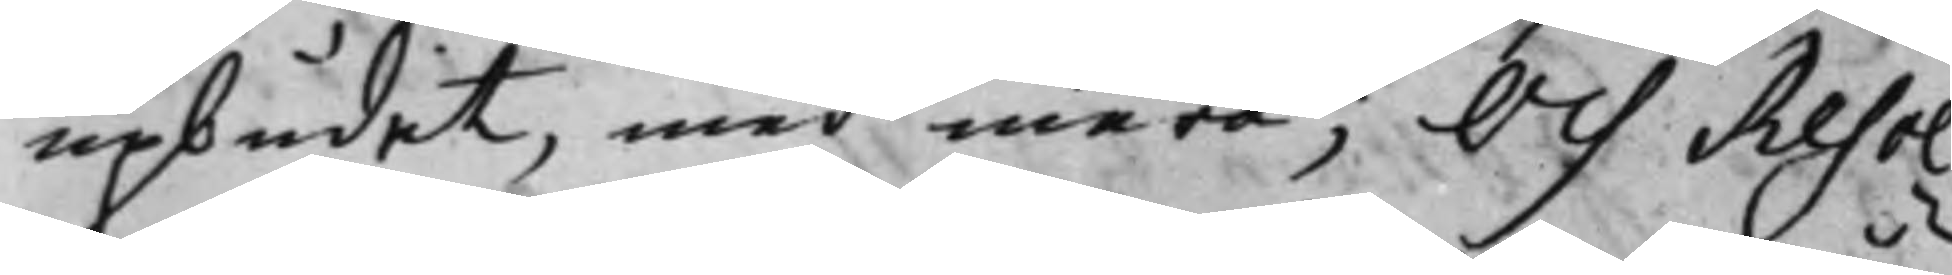upbudet, med mera; Och Resol¬
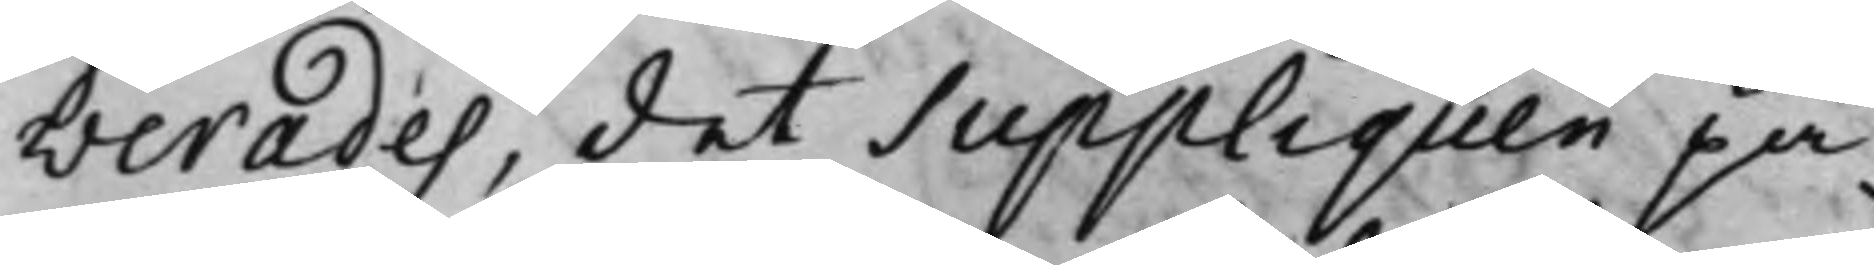verades, det Suppliquen på¬
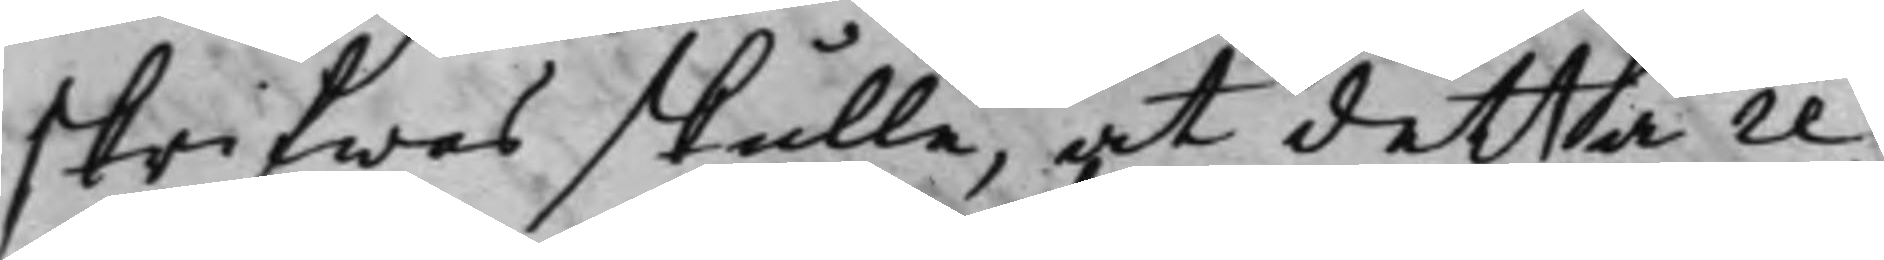skrifwas skulle, at detta re¬
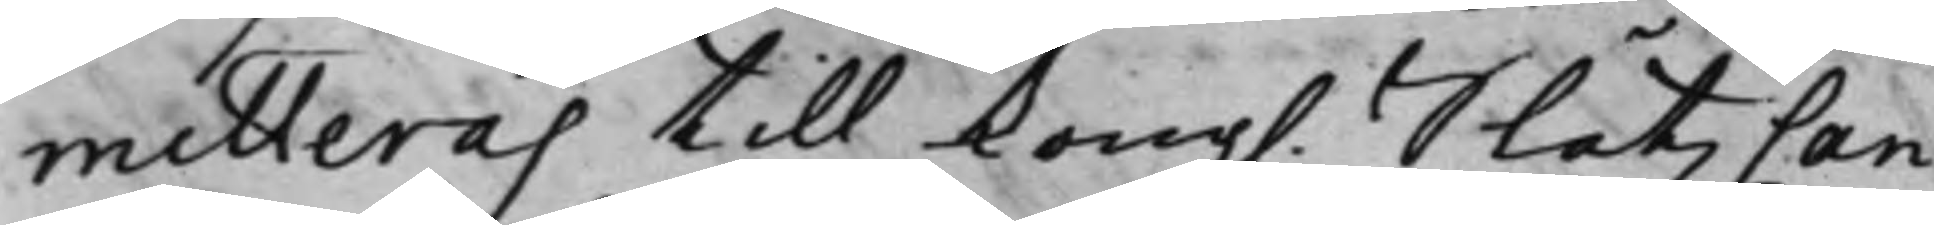mitteras till Kong. Slåtz Can¬ 
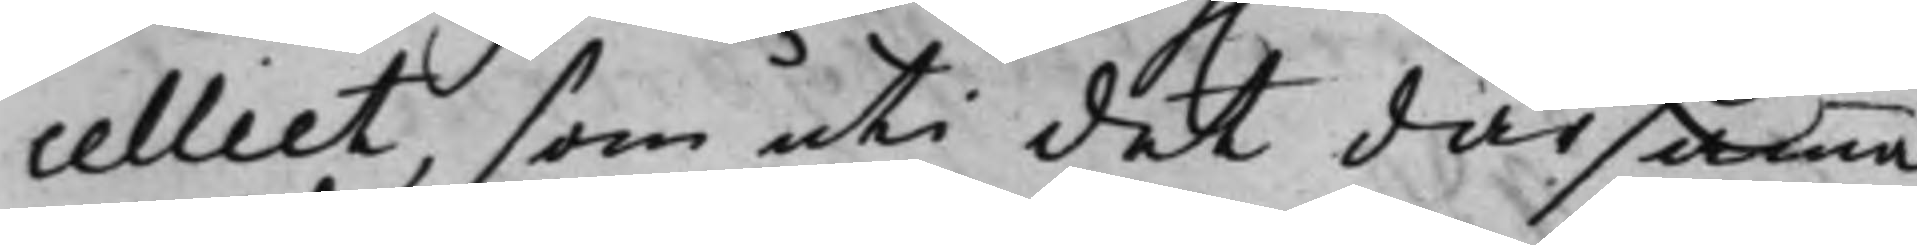celliet, som uti det därsamma¬
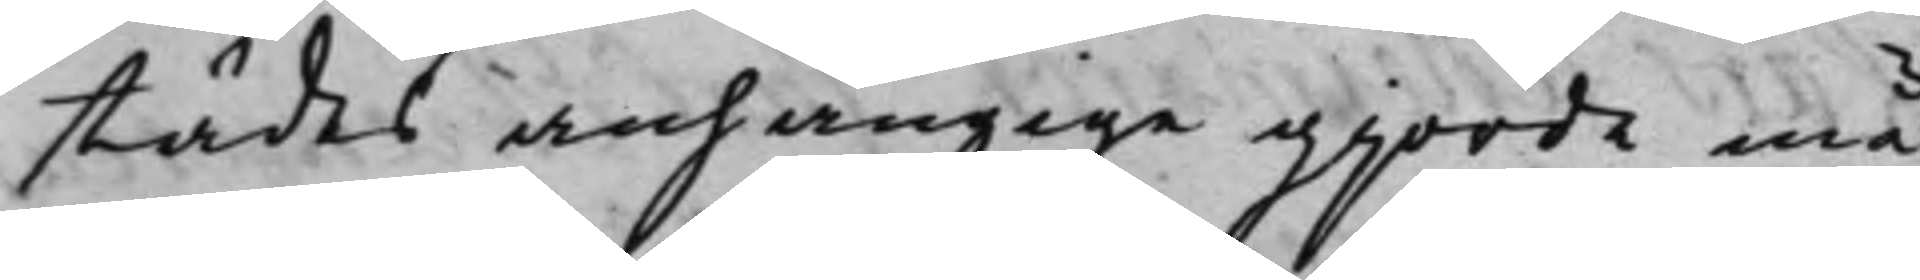städes anhängige gjorde må¬
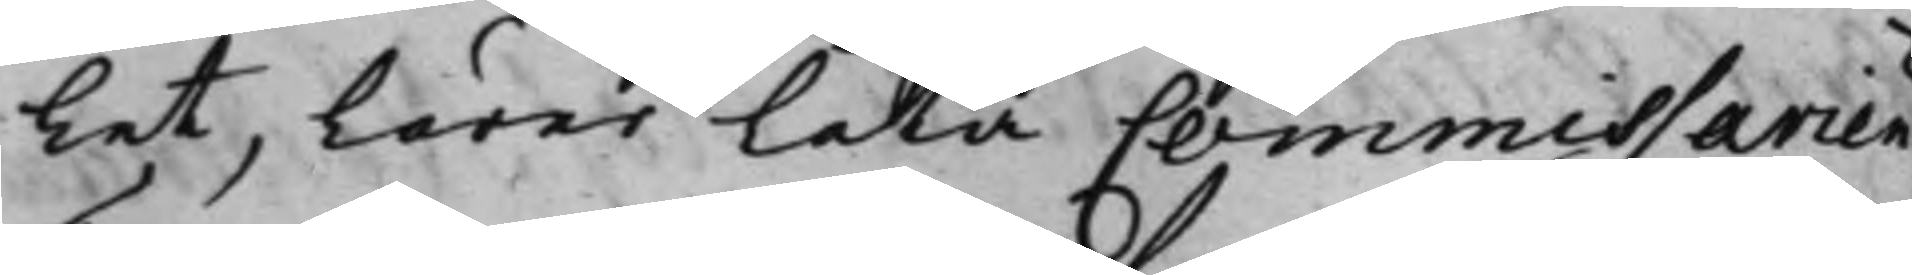let, Lärer Låta Commissarien
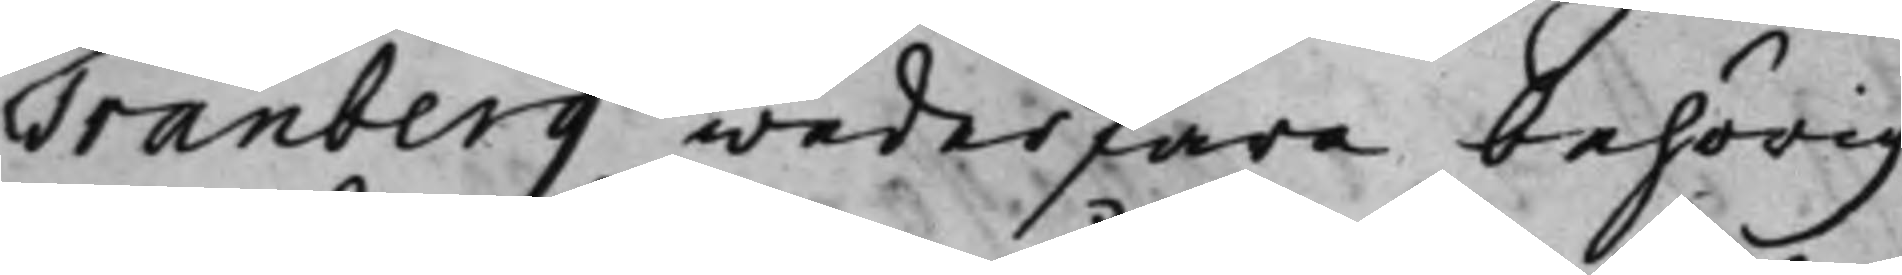Tranberg wederfara behörig
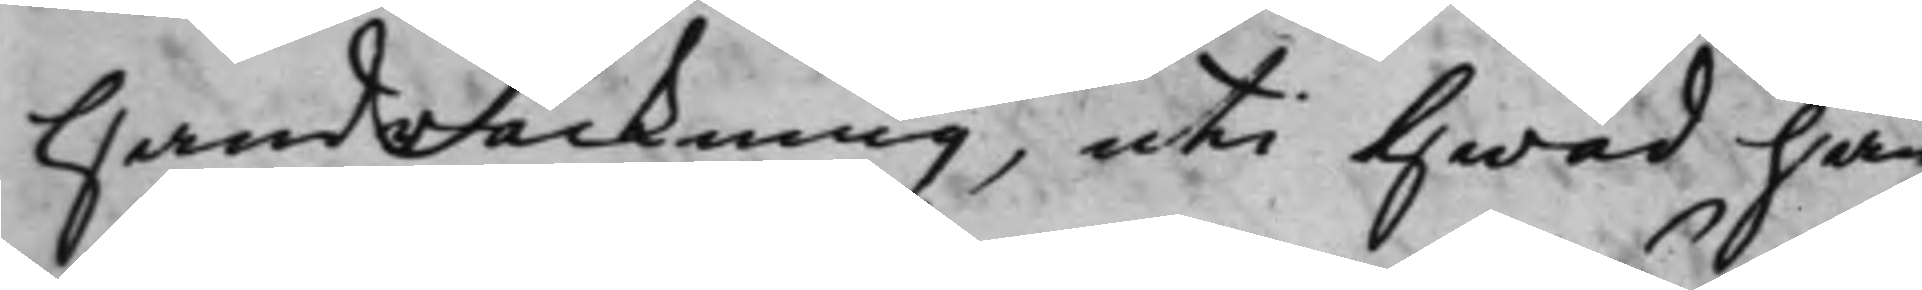handräckning, uti Hwad han
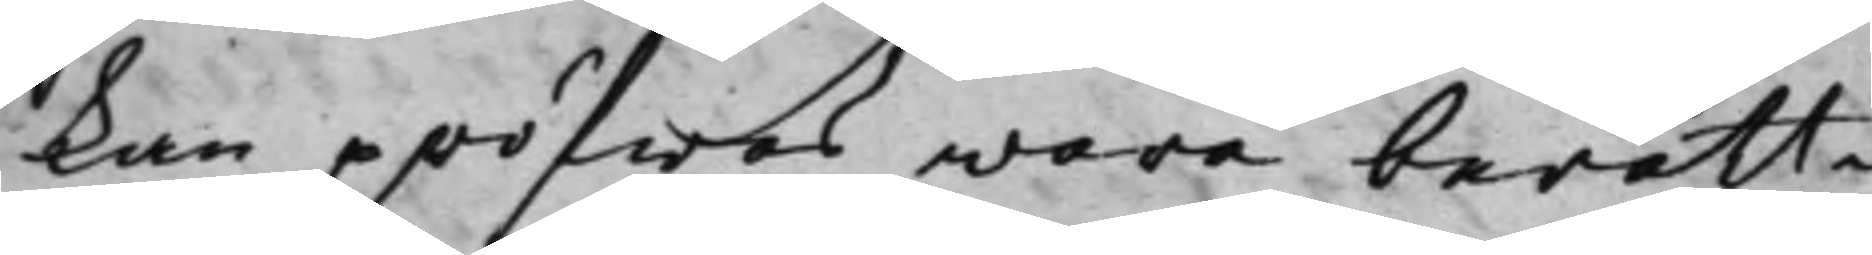kan pröfwas wara berätti¬
